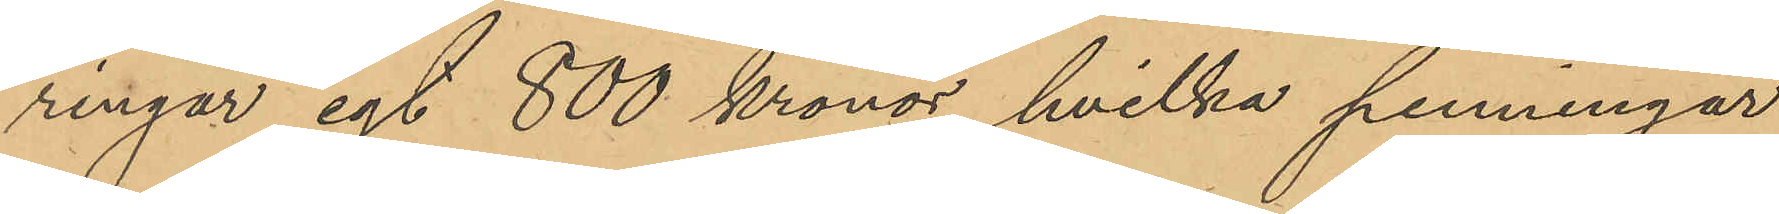ringar egt 800 kronor, hvilka penningar
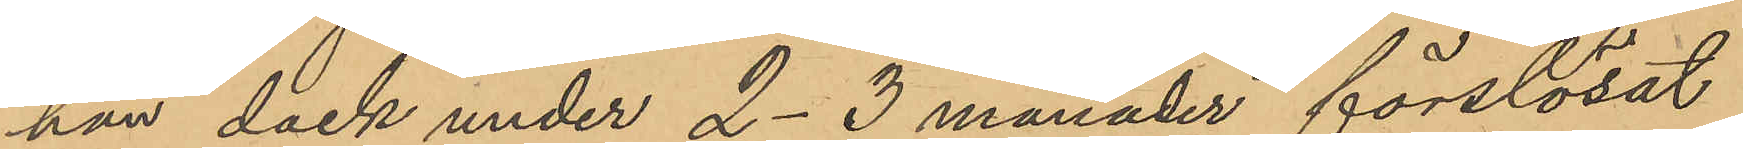han dock under 2-3 månader förslösat
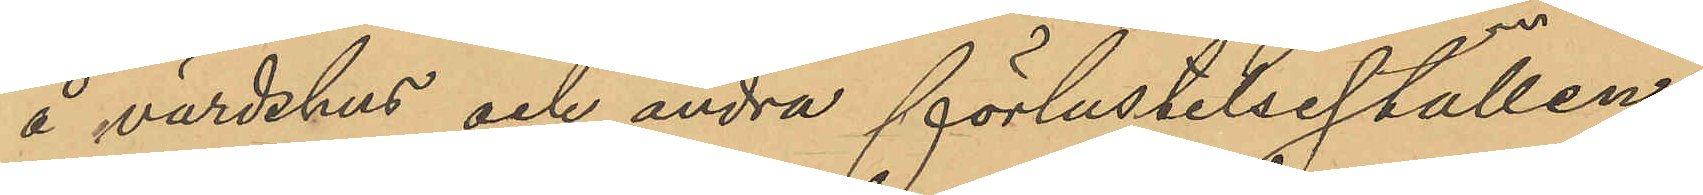å värdshus och andra förlustelseställen;
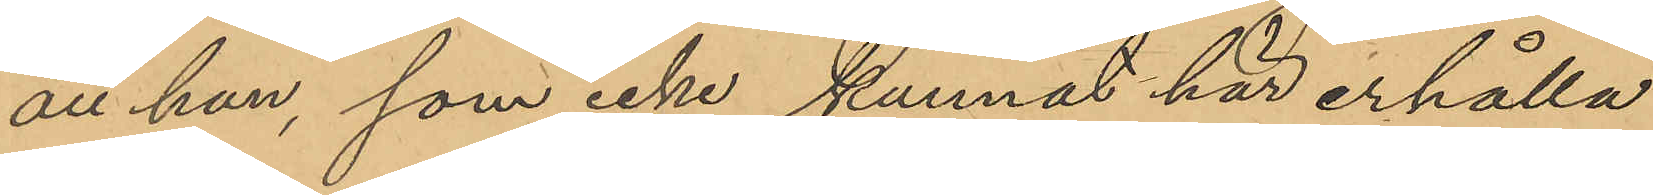att han, som icke kunnat här erhålla
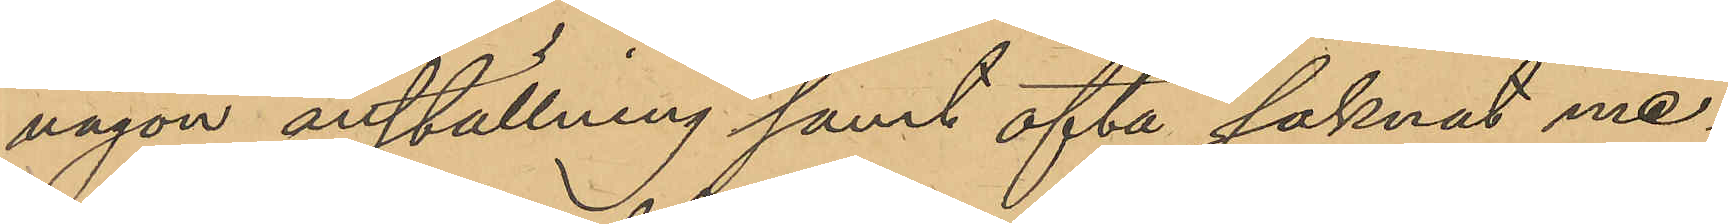någon anställning samt ofta saknat me¬
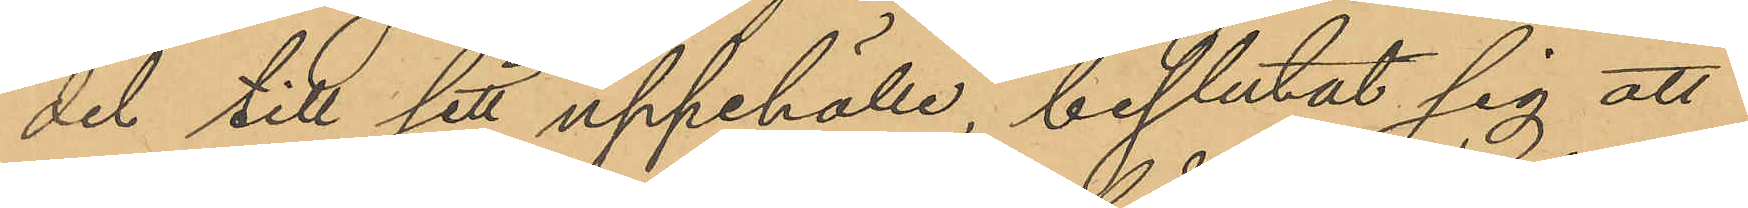del till sitt uppehälle, beslutat sig att
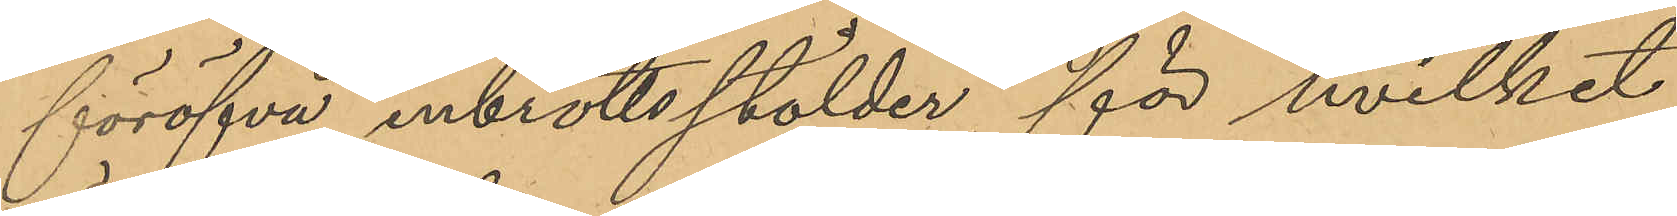föröfva inbrottsstölder för hvilket
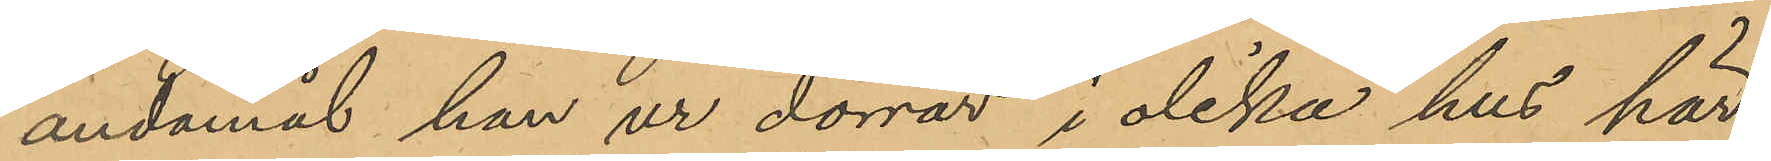ändamål han ur dörrar i olika hus här
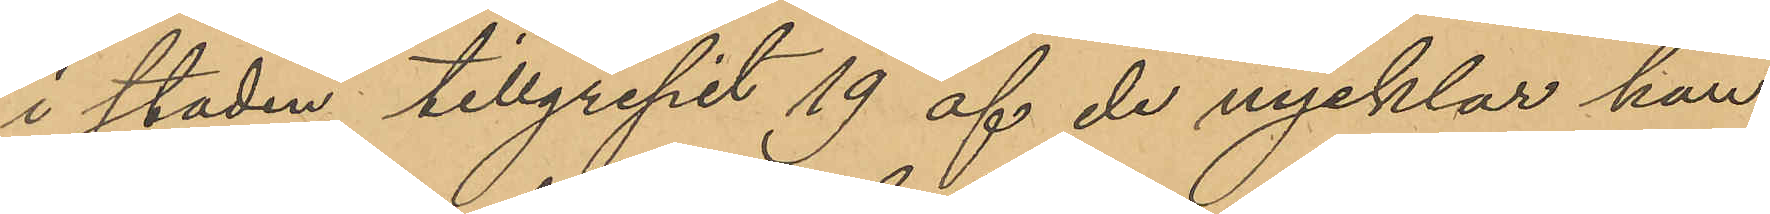i staden tillgripit 19 af de nycklar han
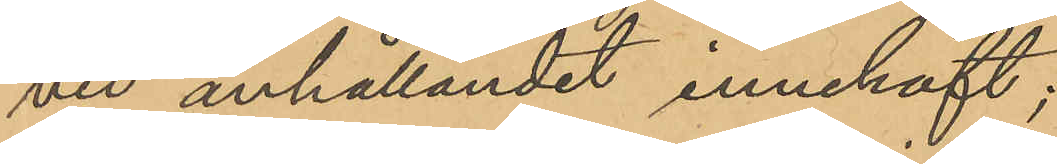vid anhållandet innehaft;
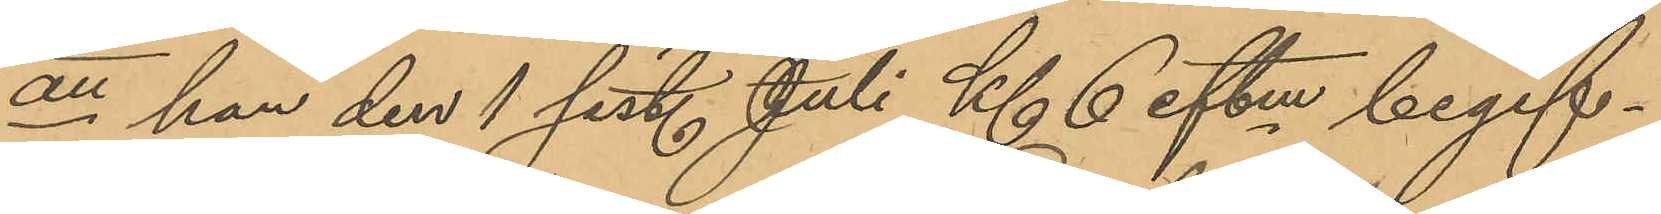att han den 1 sist. Juli Kl. 6 eftm begif¬
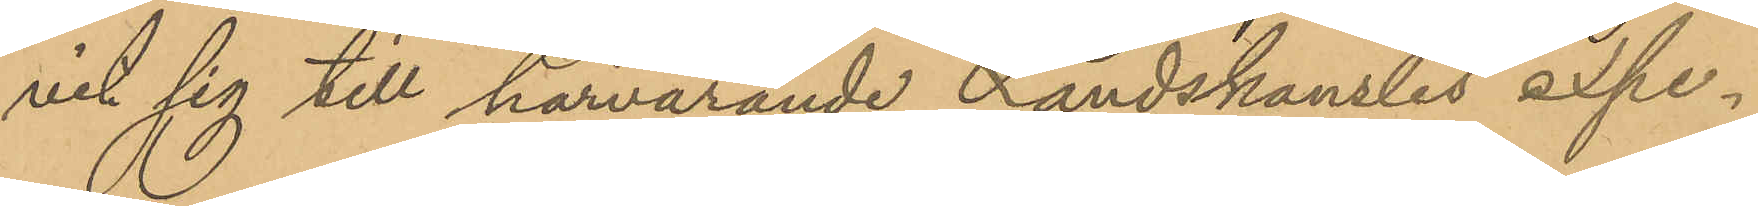vit sig till härvarande Landskanslis expe¬
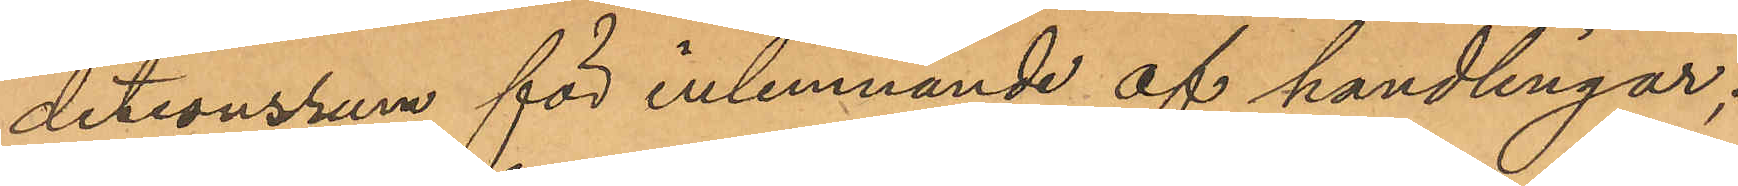detionsrum för inlemnande af handlingar;
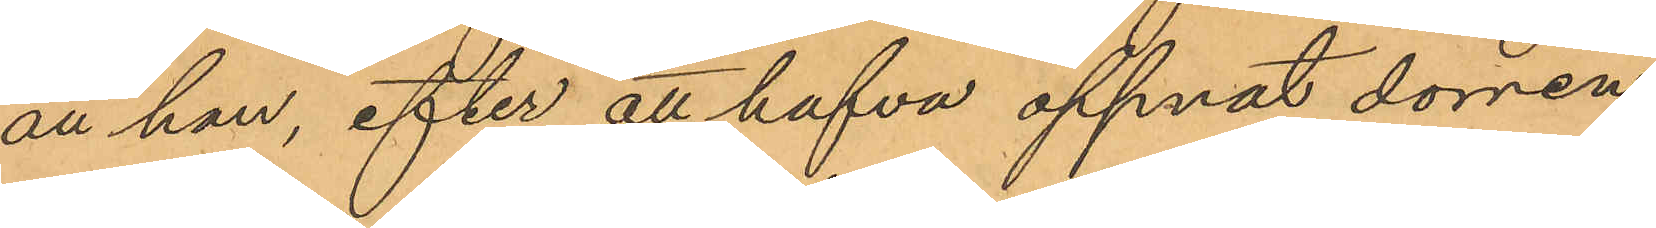att han, efter att hafva öppnat dorren
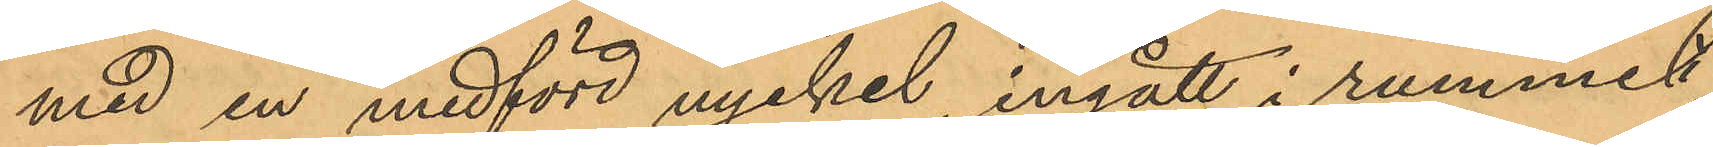med en medförd nyckel, ingått i rummet,
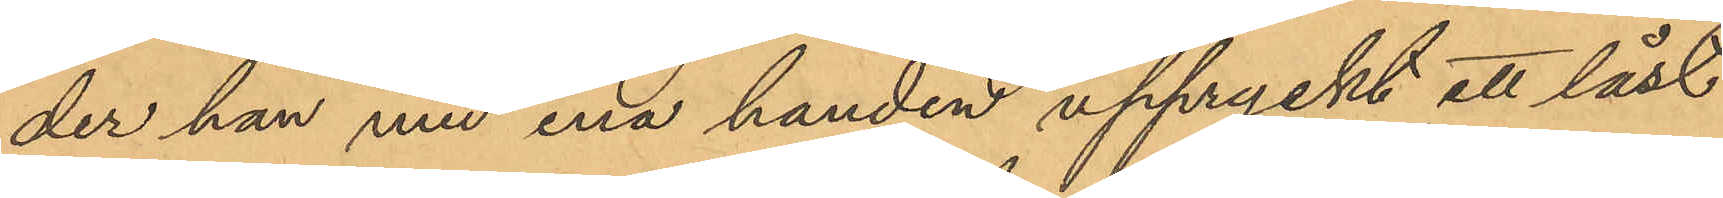der han med ena handen uppryckt ett låst
